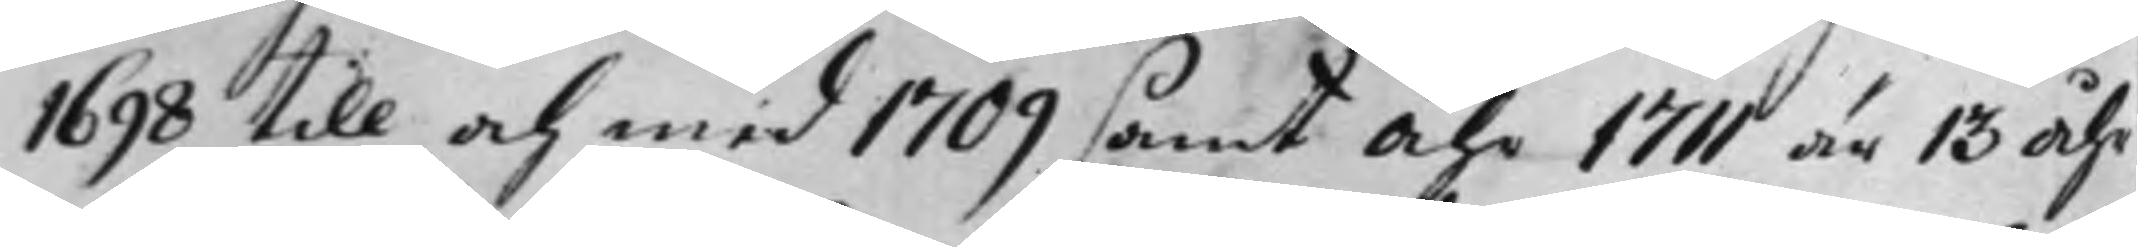1698 till och med 1709 samt Åhr 1711 är 13 Åhr
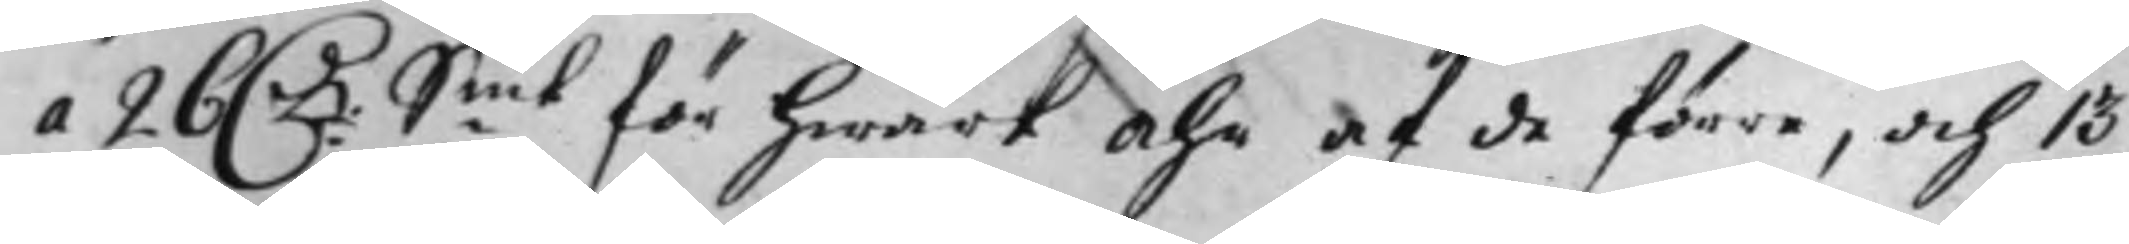a 26 D:r S:mt för hwart Åhr af de förre, och 13
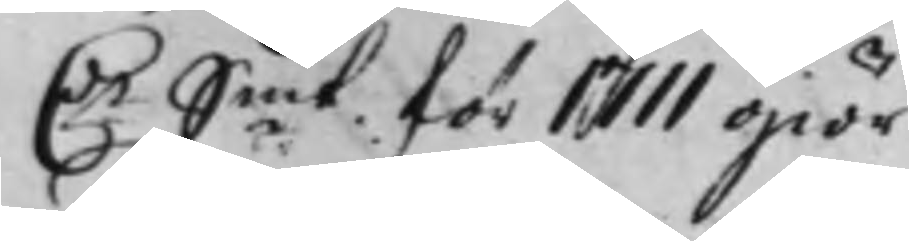D:r S:mt för 1711 giör
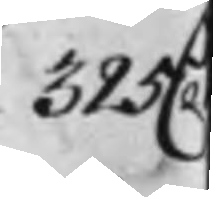325 D
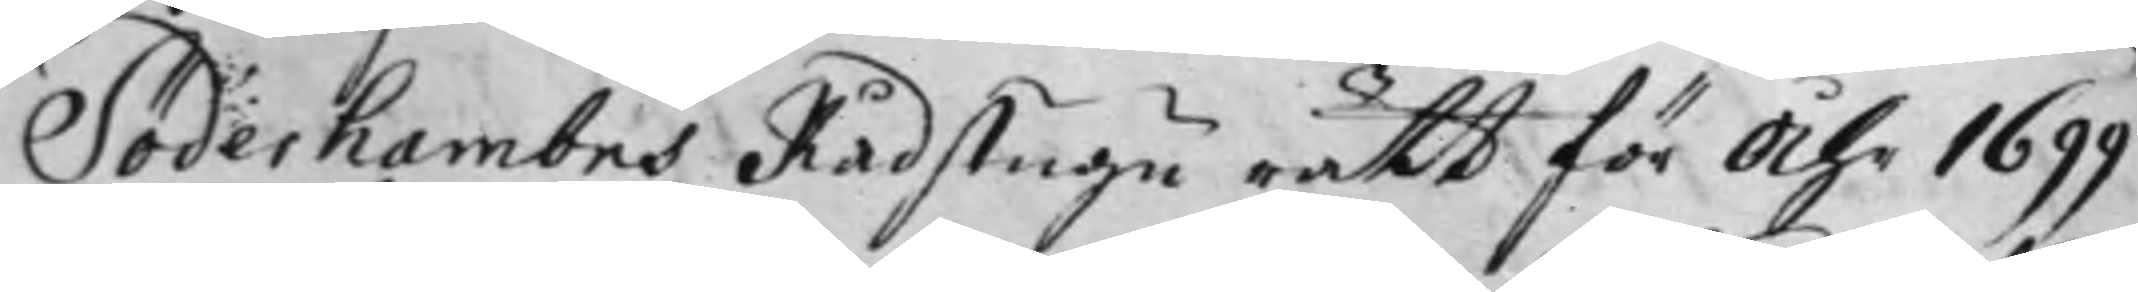Söderhambns Rådstugurätt för Åhr 1699
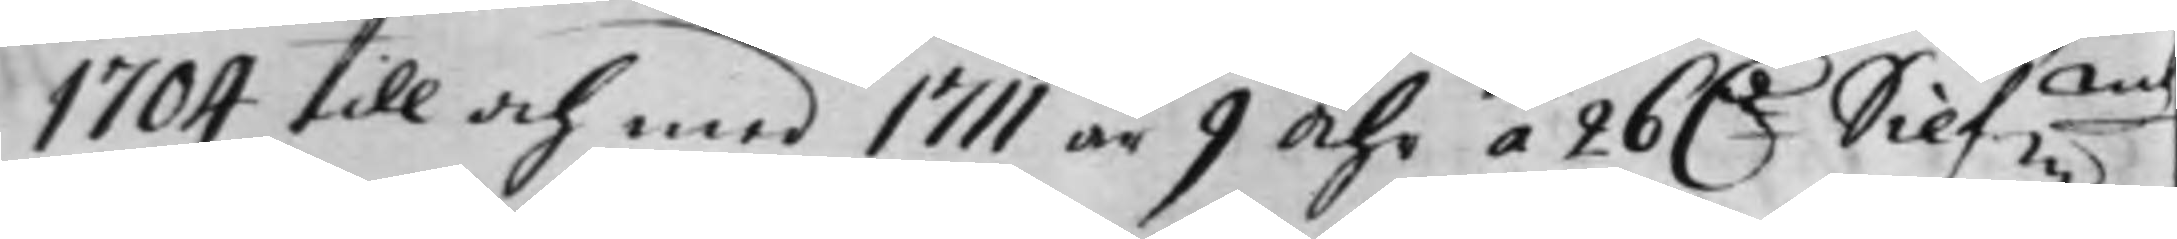1704 till och med 1711 är 9 Åhr á 26 D:r Silf:mt
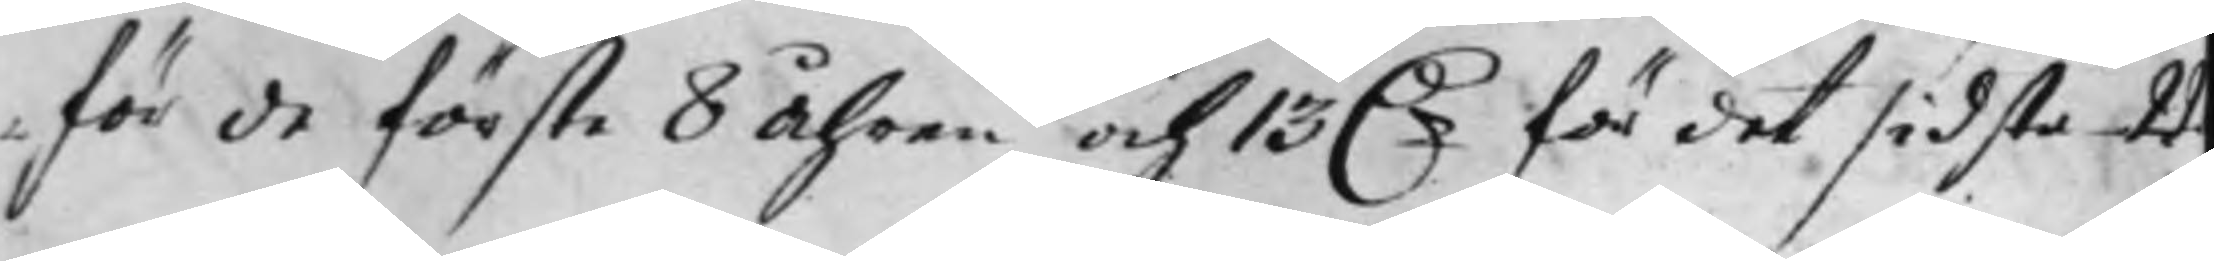för de förste 8 Åhren och 13 D:r för det sidsta 22
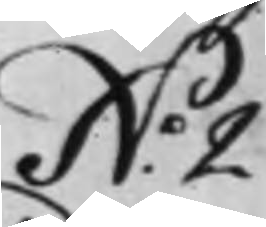N:o 2.
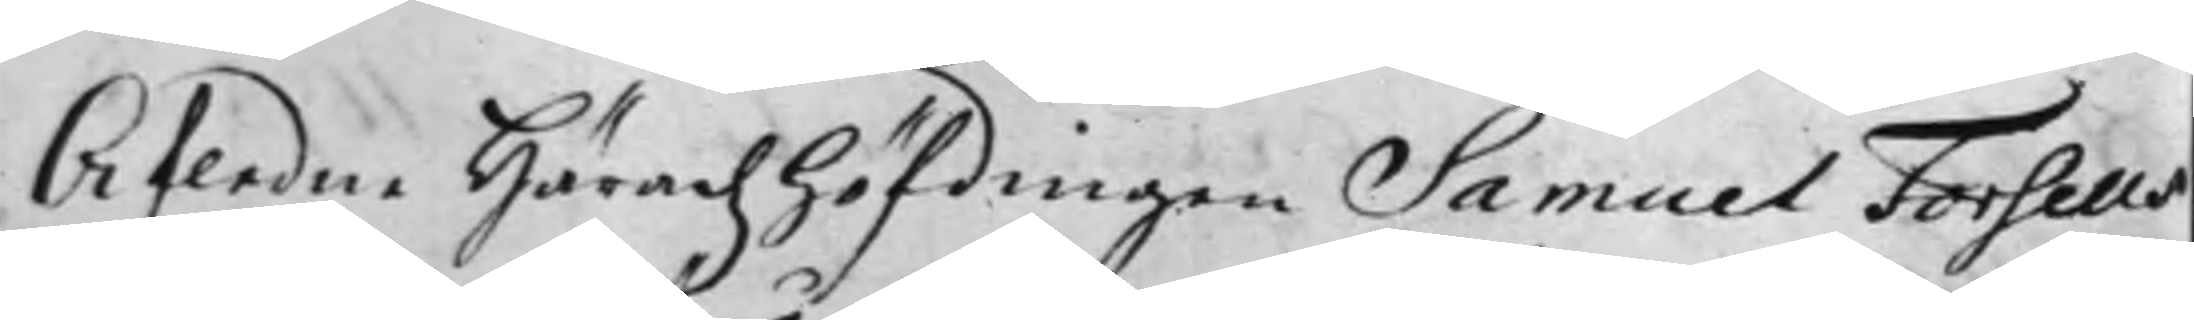Afledne Häradz höfdingen Samuel Forseus
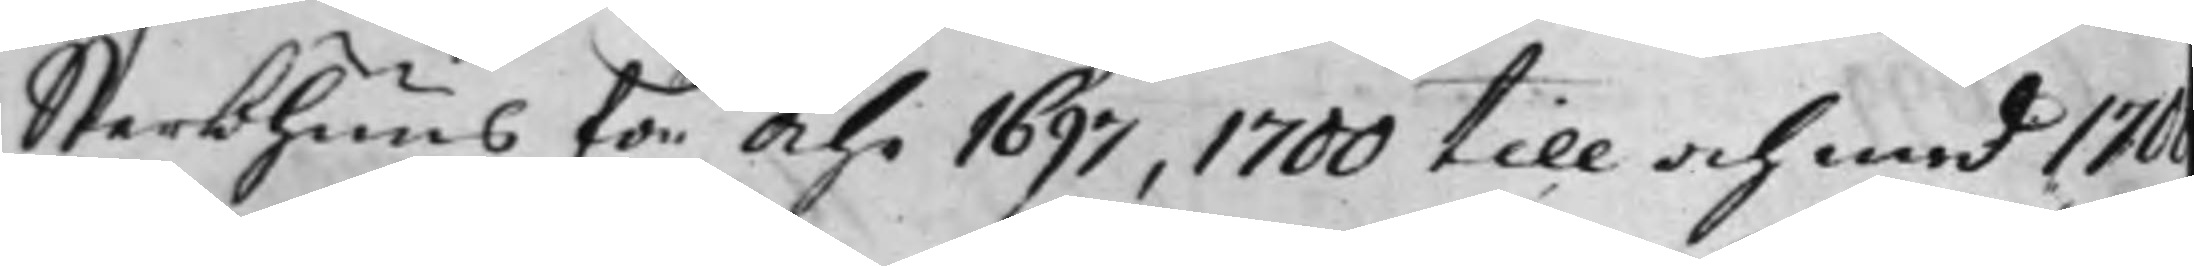Sterbhuus för Åhr 1697, 1700 till och med 170
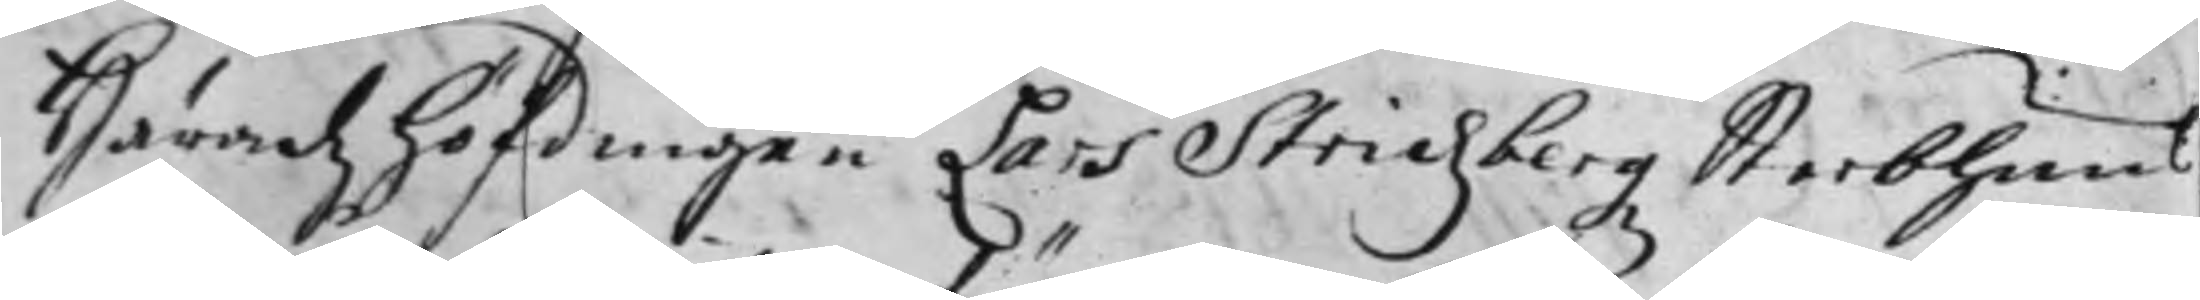Häradz höfdingen Lars Stridzbergz Sterbhuus
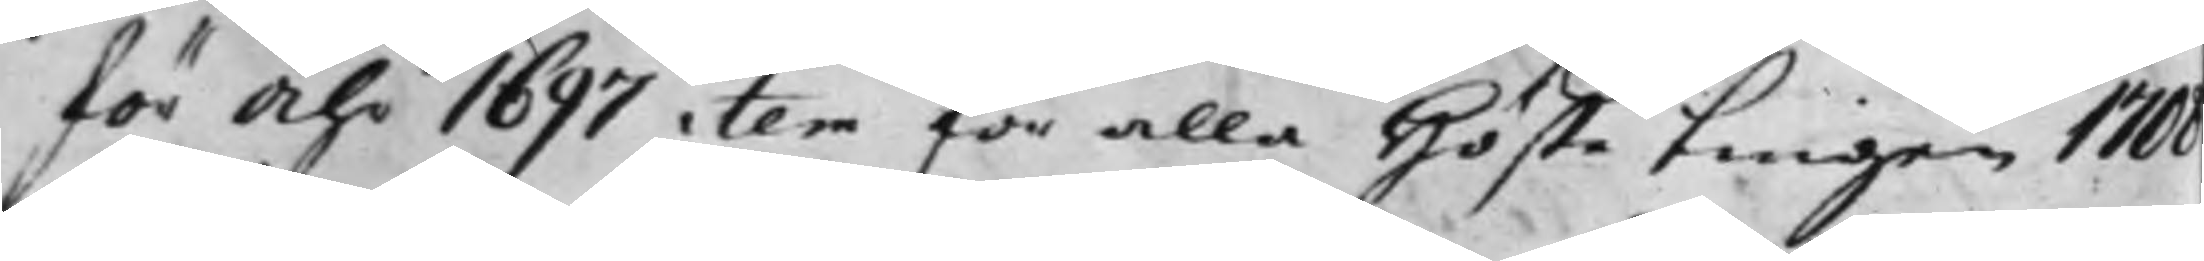för Åhr 1697 item för alla Höste tingen 170
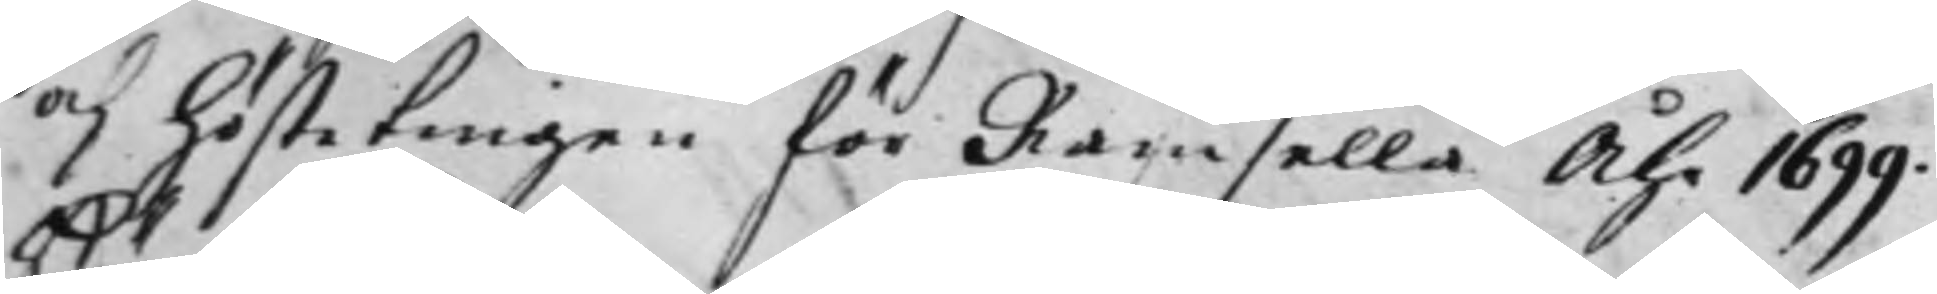och höste tingen för Ramsella Åhr 1699.
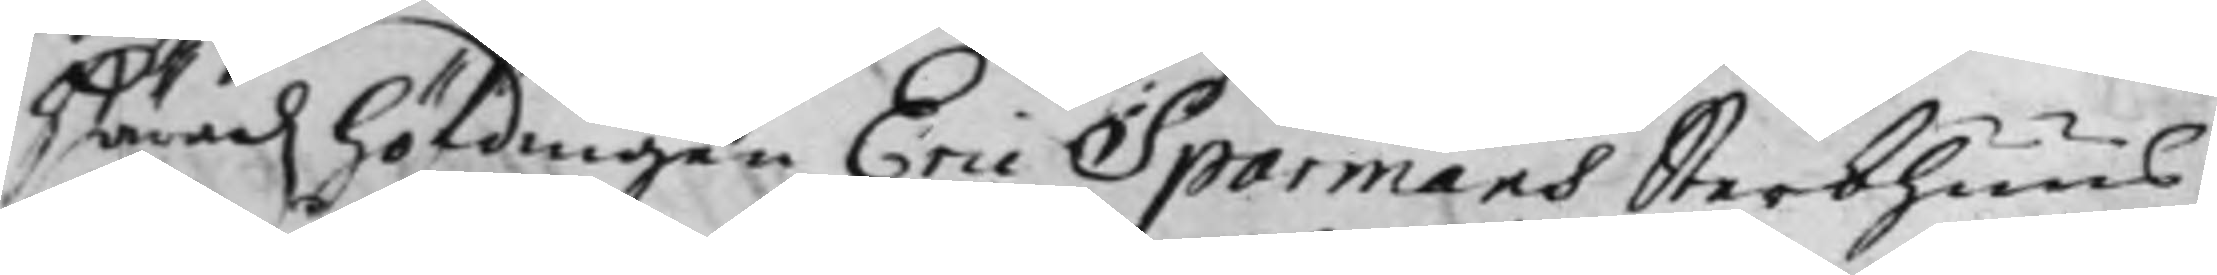Häradz höfdingen Eric Sparmans Sterbhuus
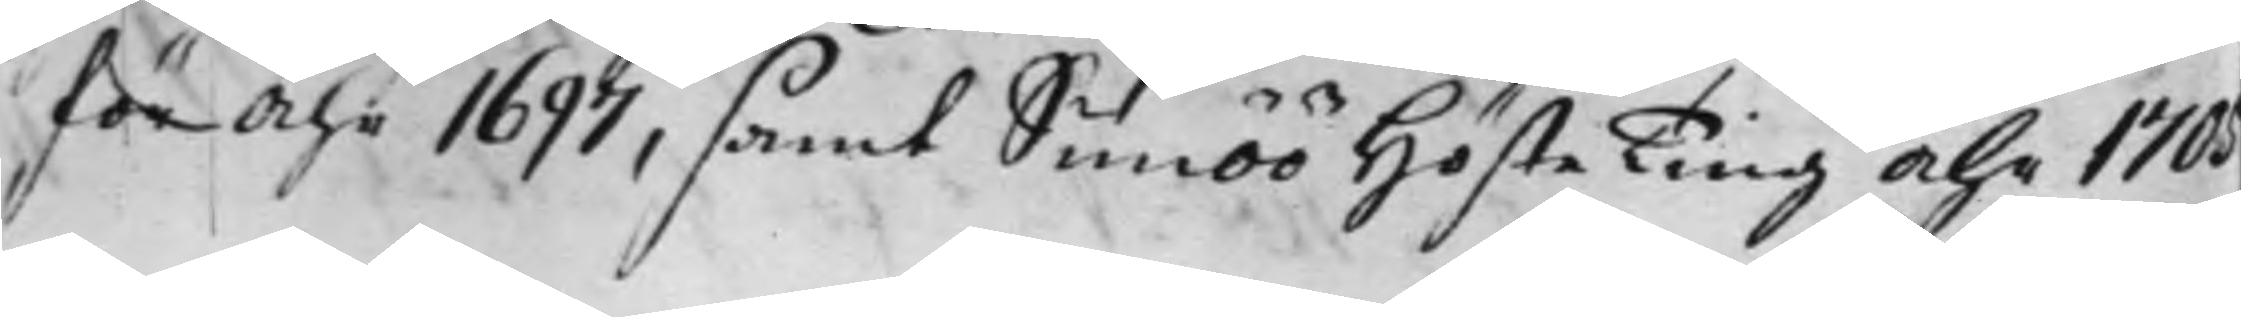för Åhr 1697, samt Simöö Höste Ting Åhr 1705
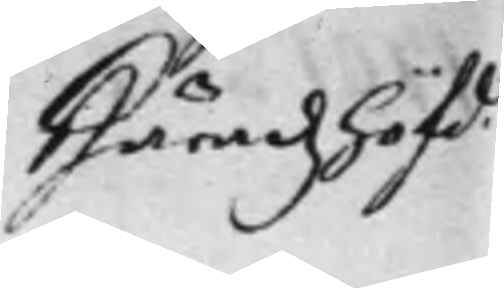Häradz höfd.
